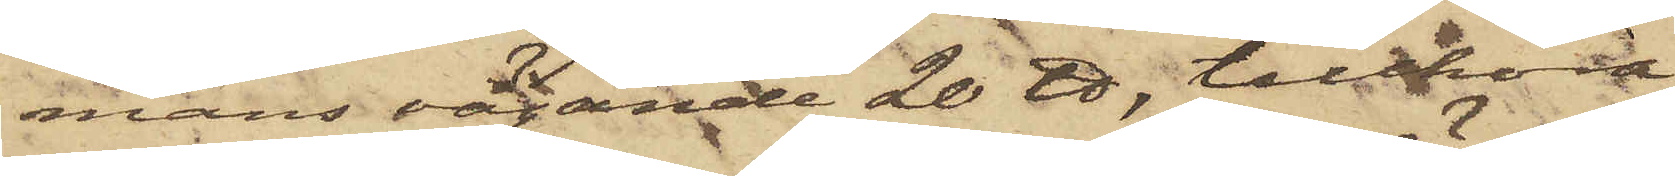mans vägande 20 ℔, tillhöra
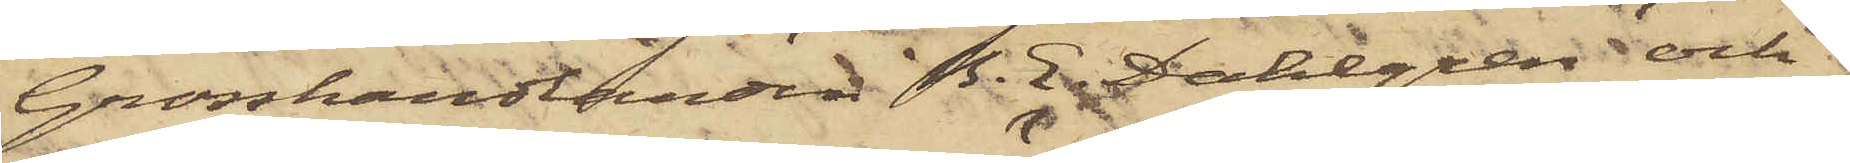Grosshandlanden B. E. Dahlgren och
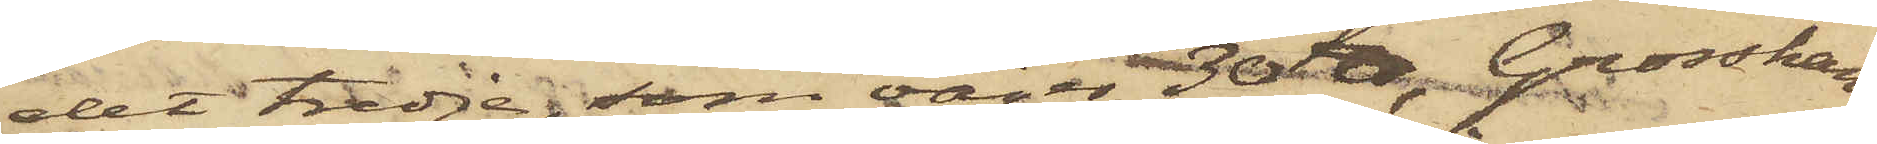det tredje, som väger 30 ℔, Grosshan¬
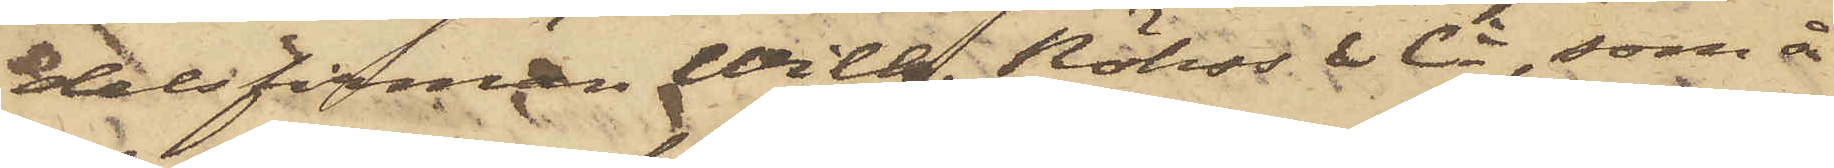delsfirman Wilh. Röhss & Ci, som å
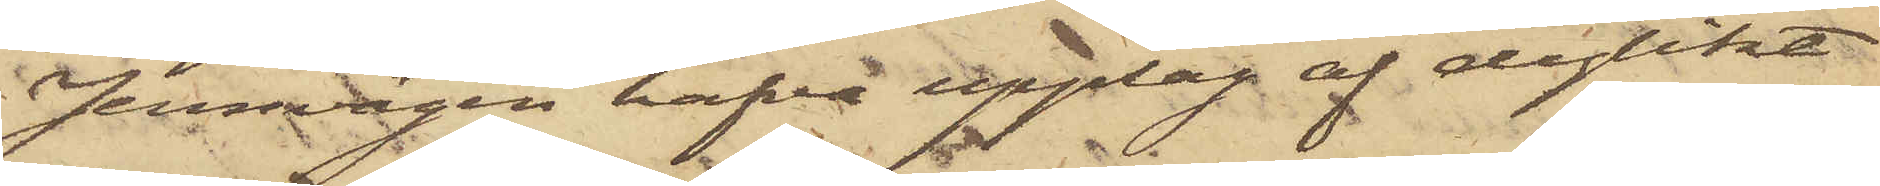Jernvågen hafva upplag af dylikt
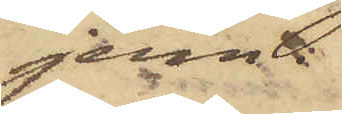jern.
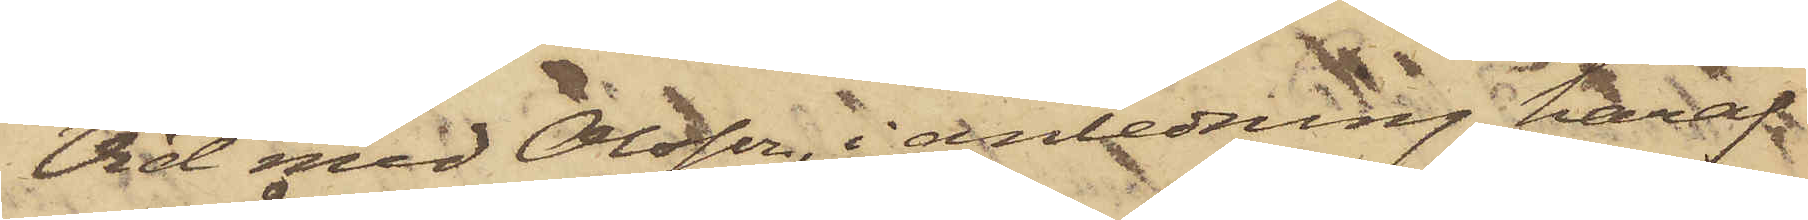Vid med Olsson i anledning häraf
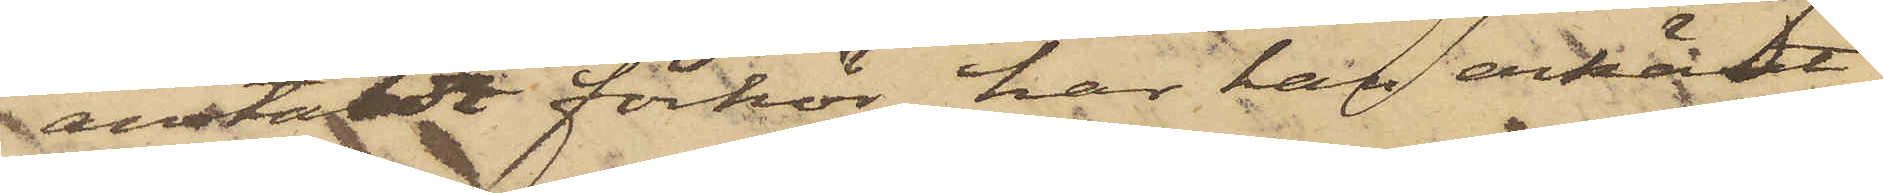anstäldt förhör har han erkänt
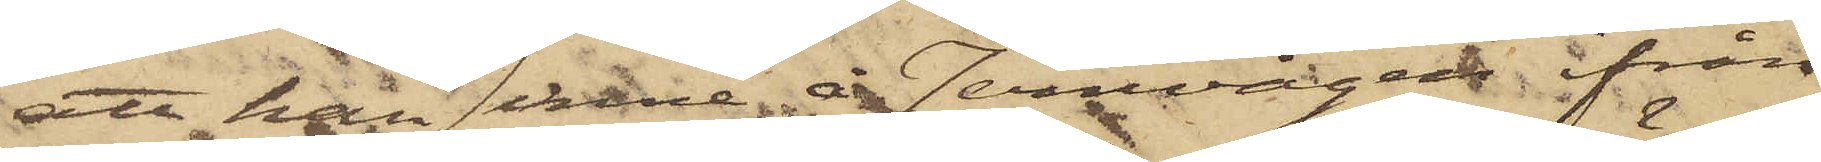att han inne å Jernvågen ifrån
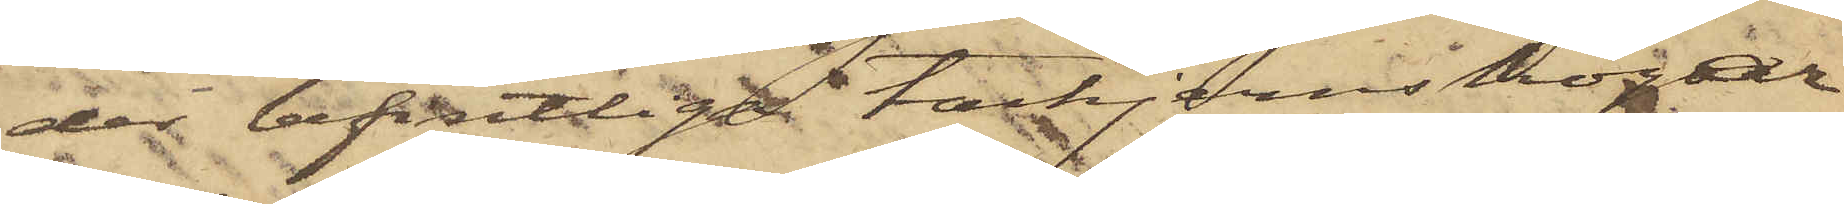der befintlige tackjernshögar
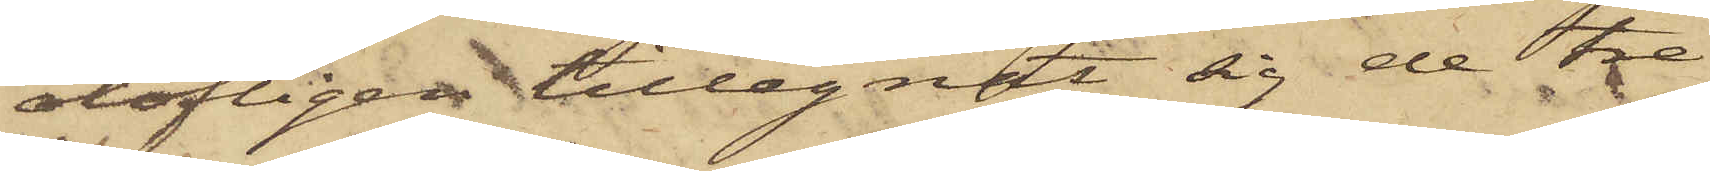olofligen tillegnat sig de tre
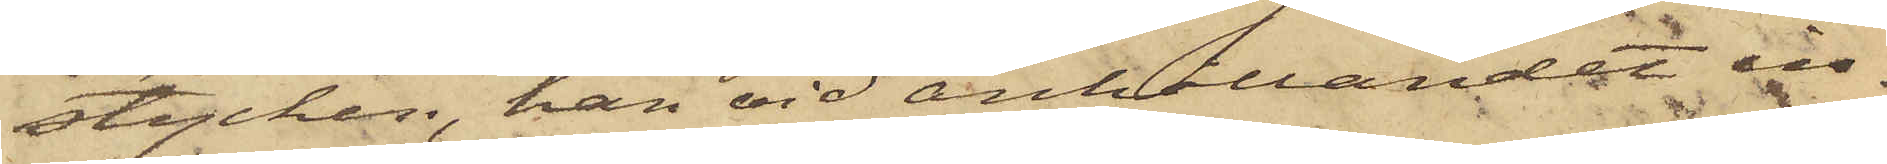stycken, han vid anhållandet in¬
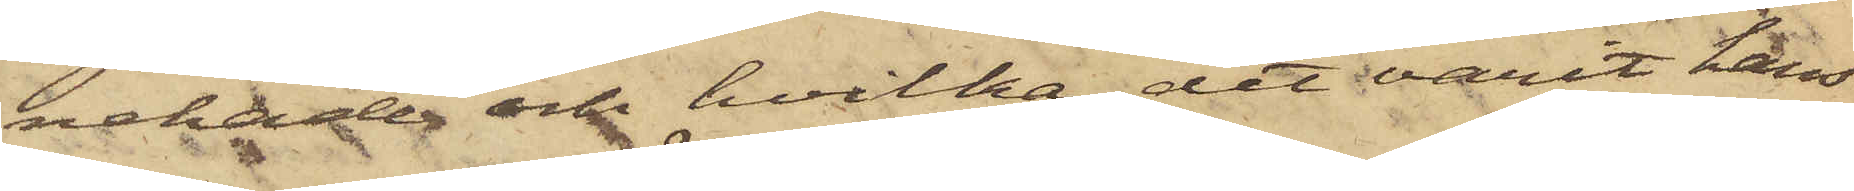nehade och hvilka, det varit hans
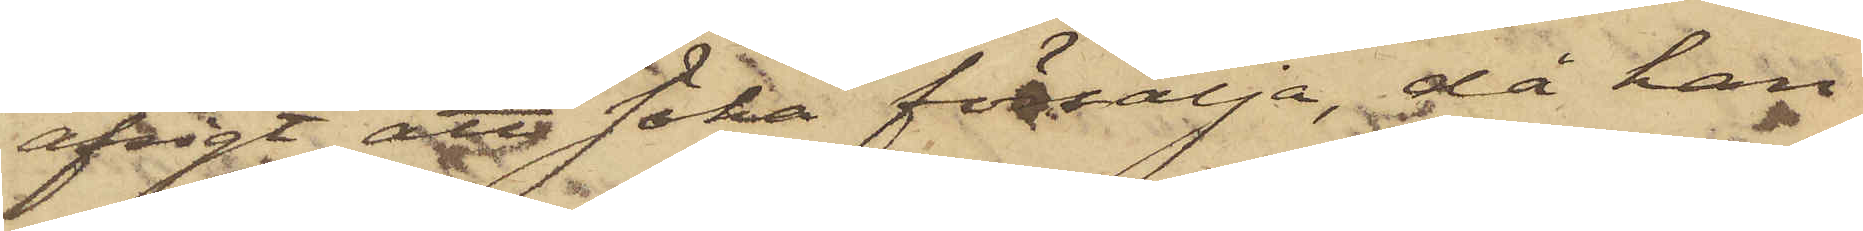afsigt att söka försälja, då han
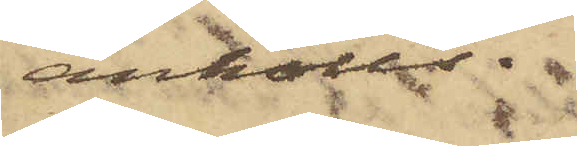anhölls.
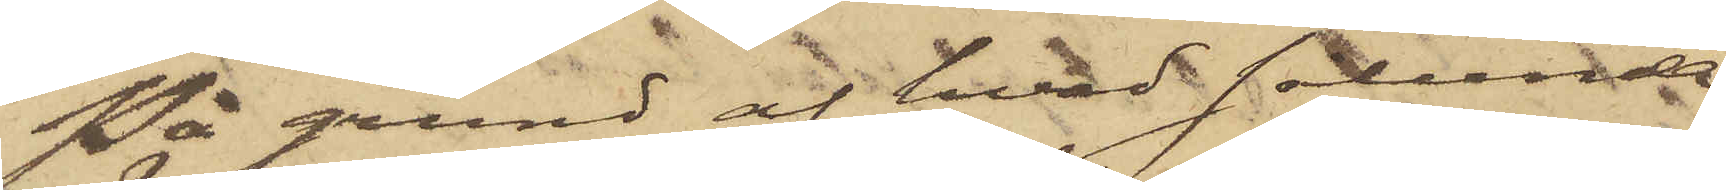På grund af hvad sålunda
